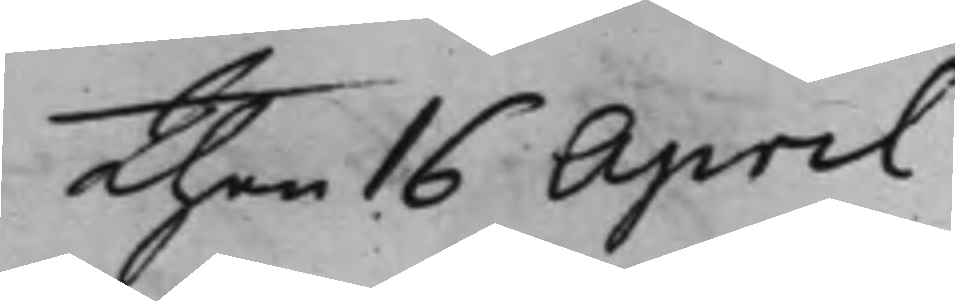Then 16 April
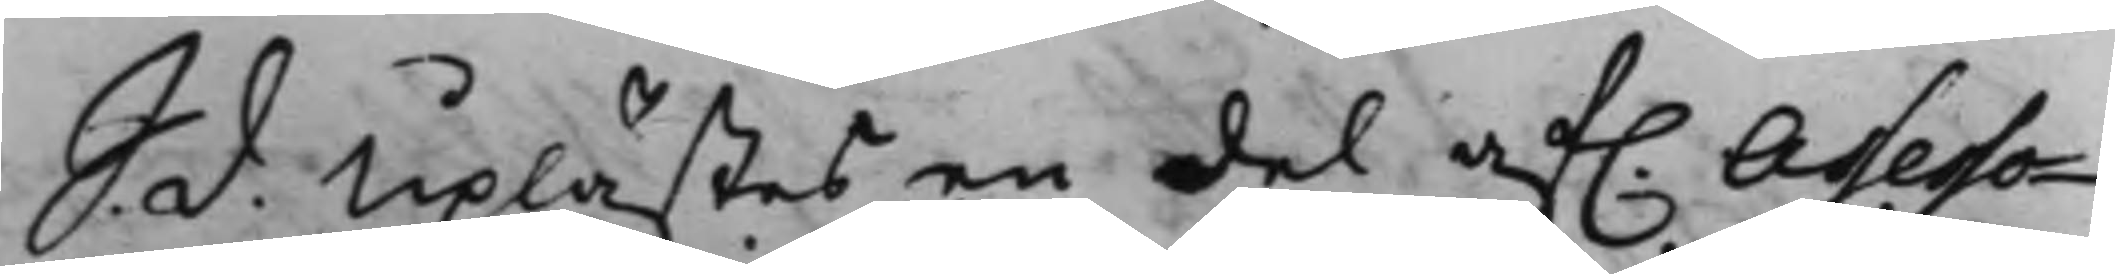S<. d. Uplästes en del af. Assesso¬
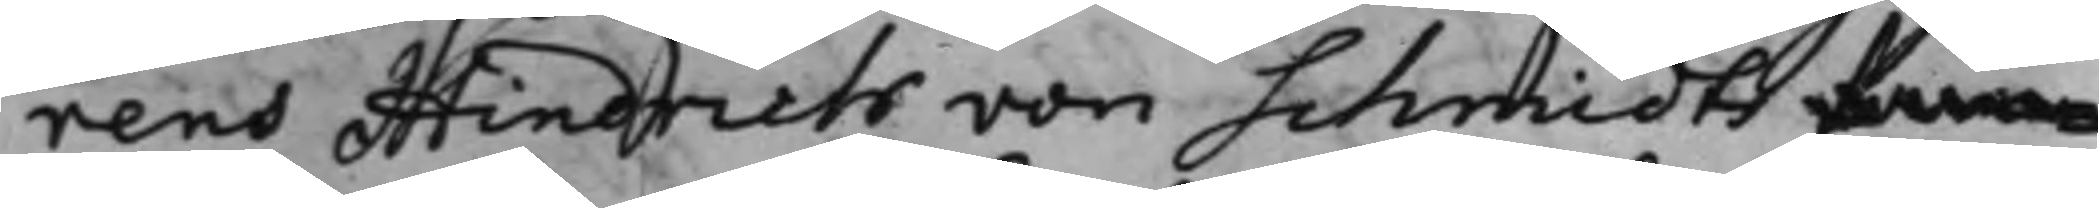rens Hindrich von Schmidts fam
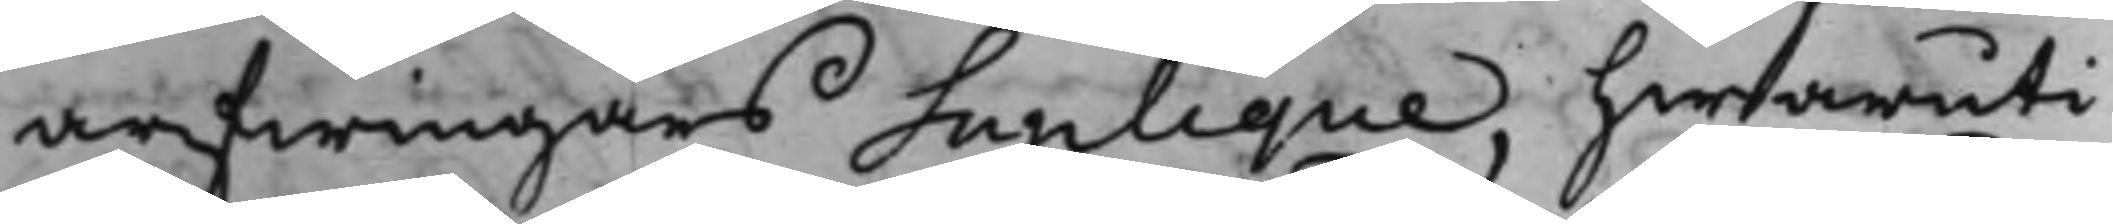arfwingars Suplique, hwaruti
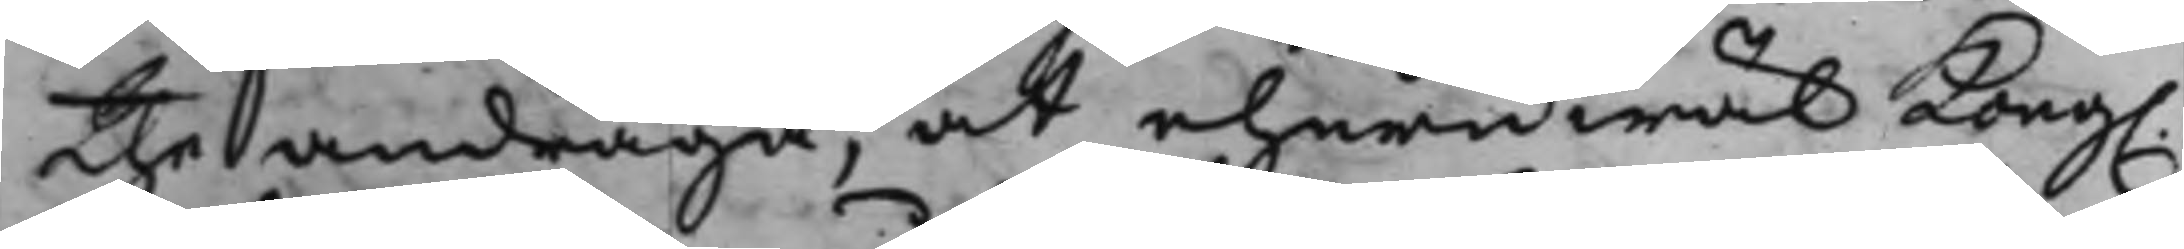the andraga, at ehuruwäl Kong.
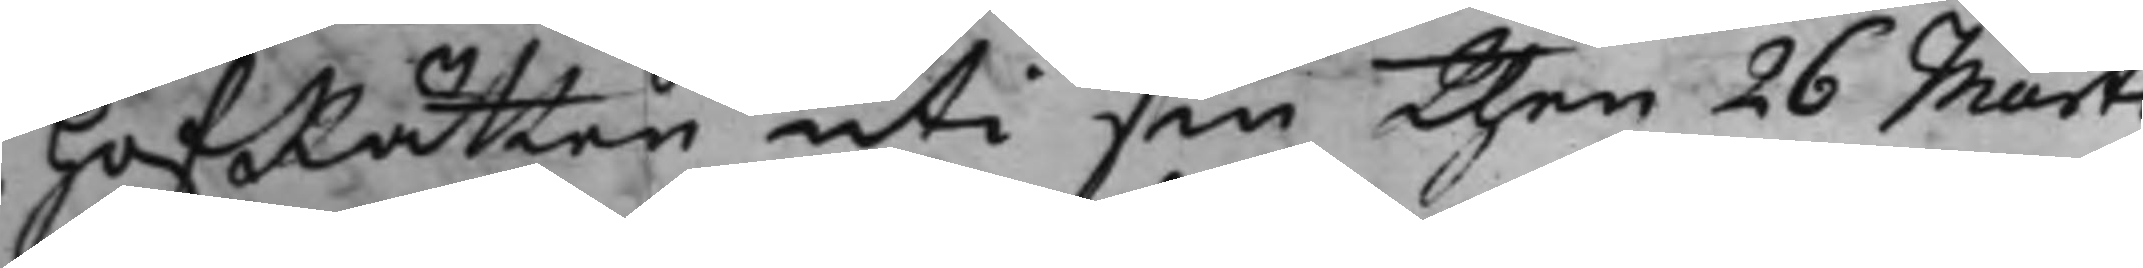HofRätten uti sin then 26 Martii
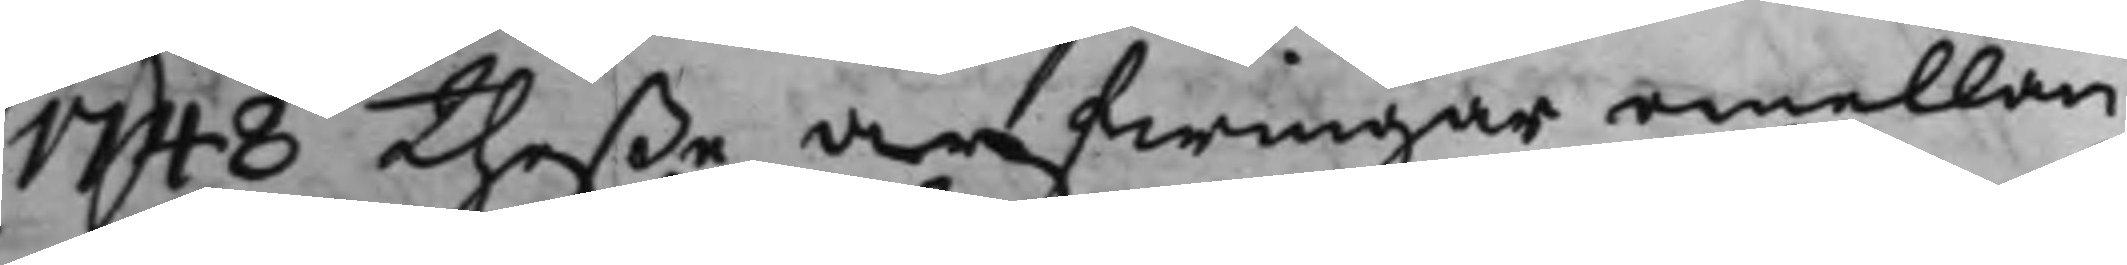1748 theße arfwingar emellan
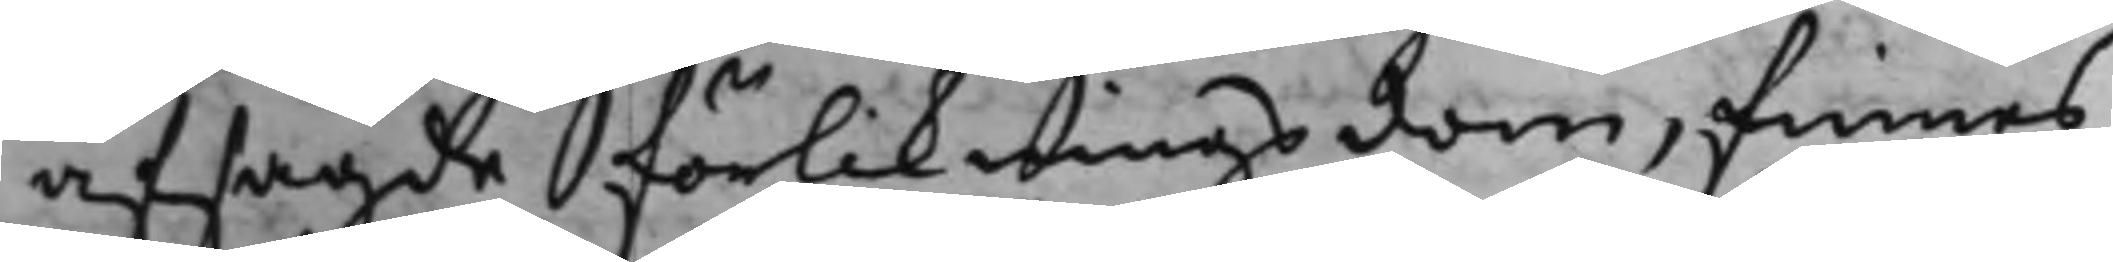afsagde förlikningsdom, finnes
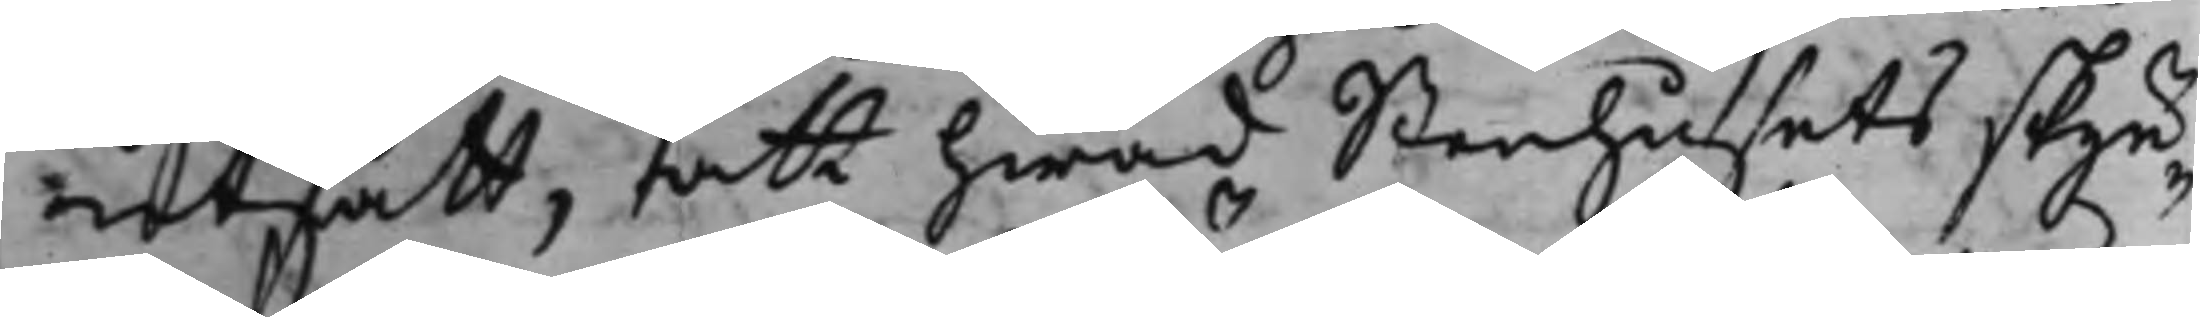utsatt, att hwad Stenhusets skyn¬
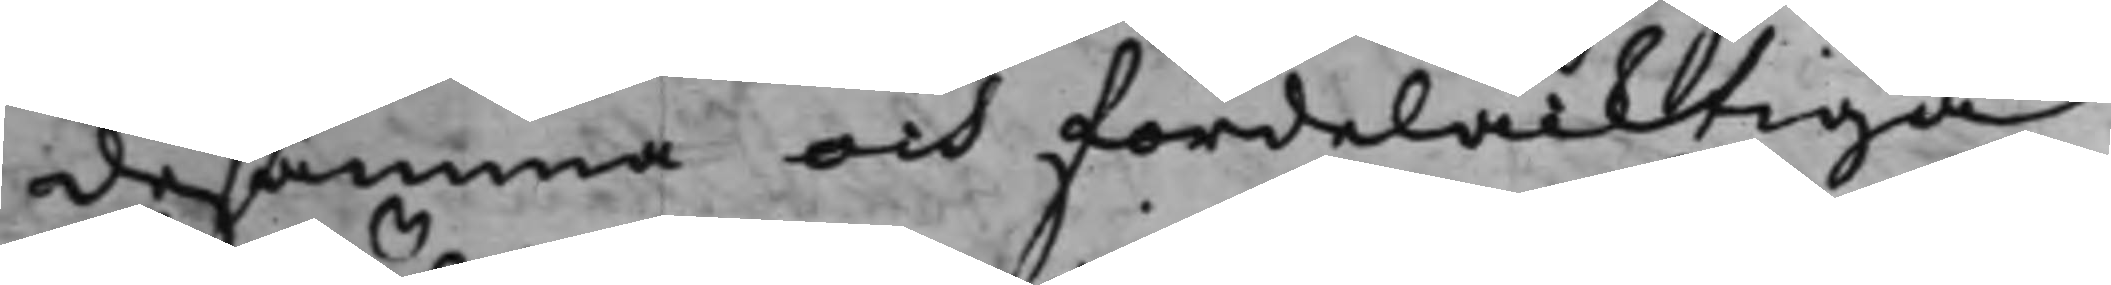desamma och fördelacktiga
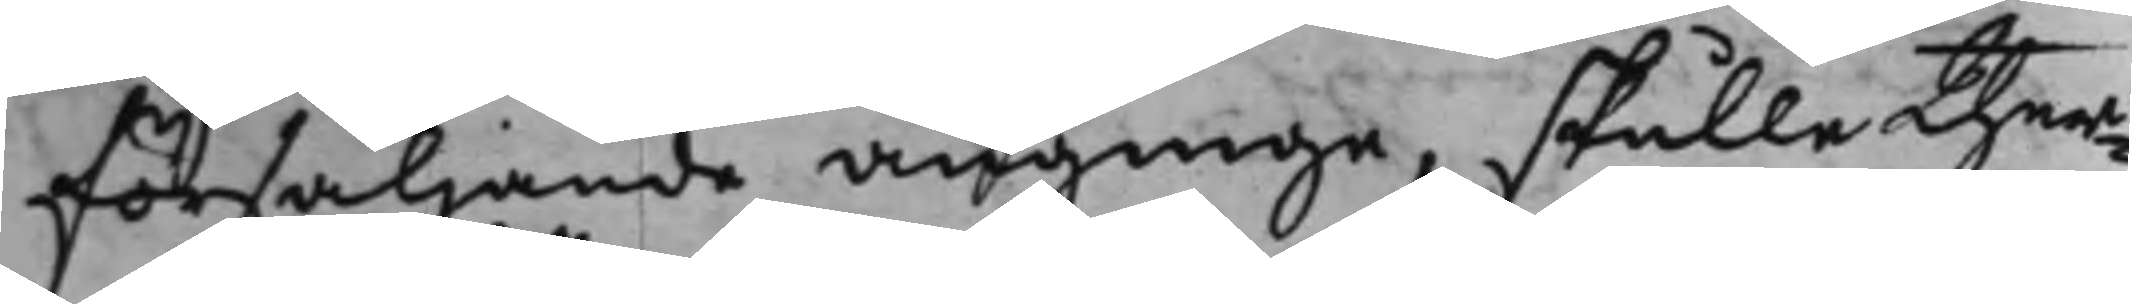försäljande anginge, skulle ther¬
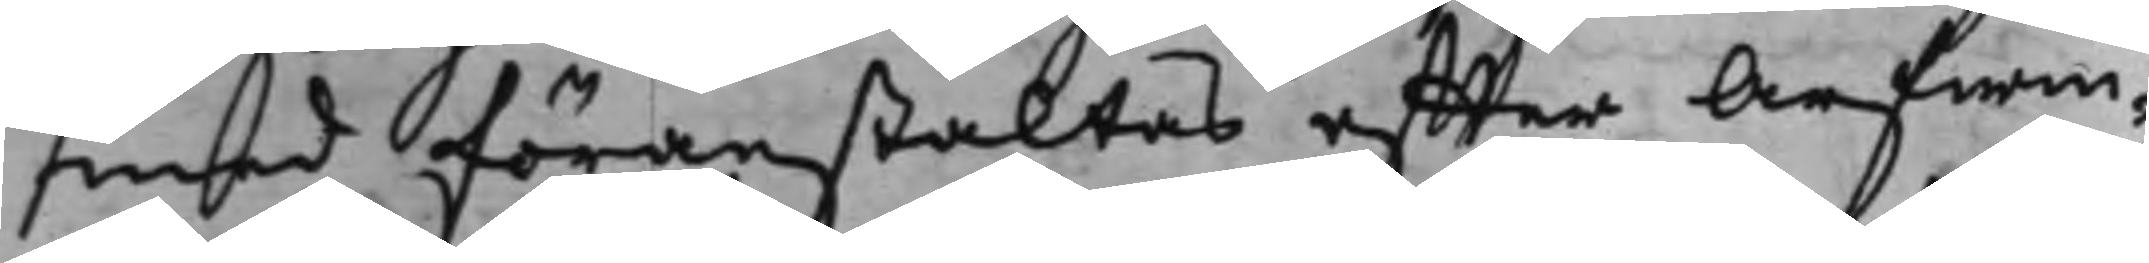med föranstaltas effter Arfwin¬
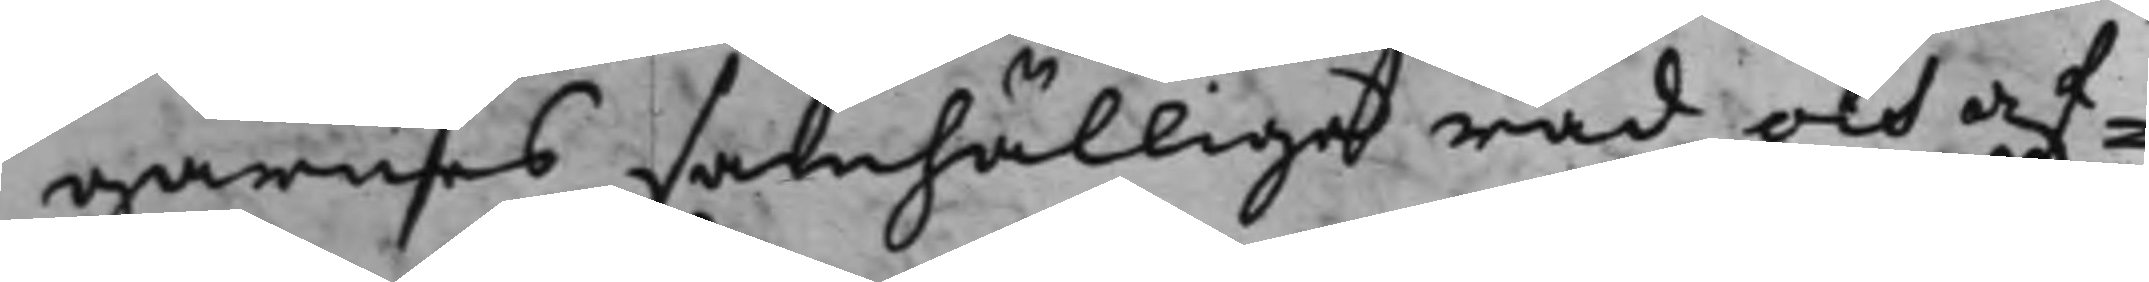garnes samhällige råd och af¬
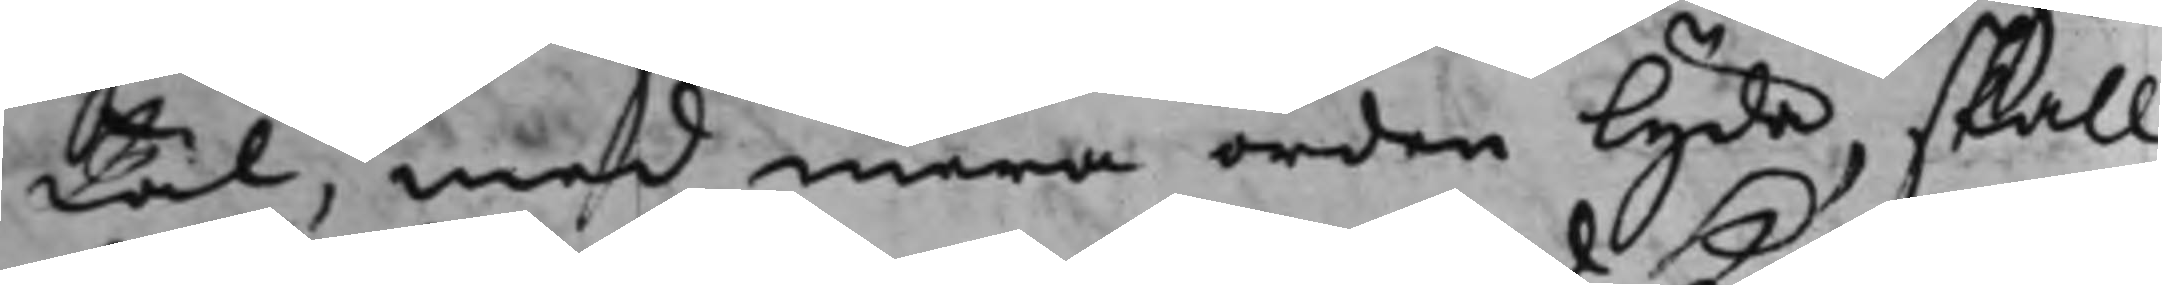tal, med mera orden lyda, skall
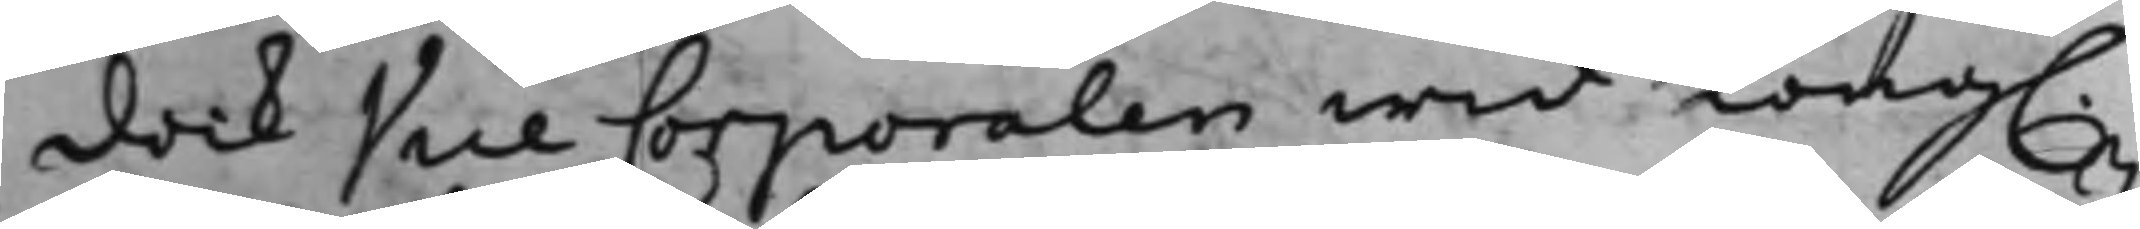dock Vice Corporalen wid Kong.
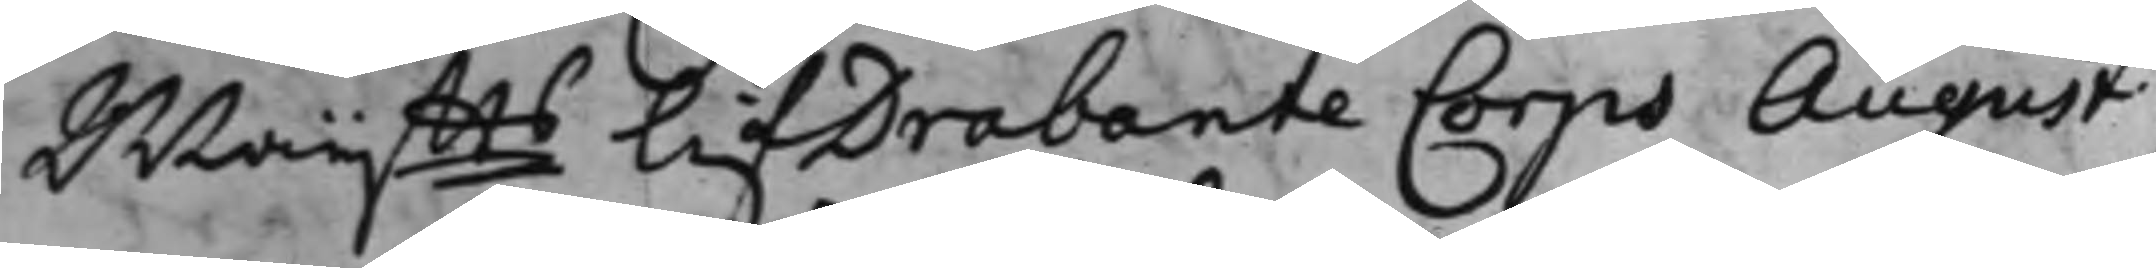Maijtts LifDrabante Corps August
